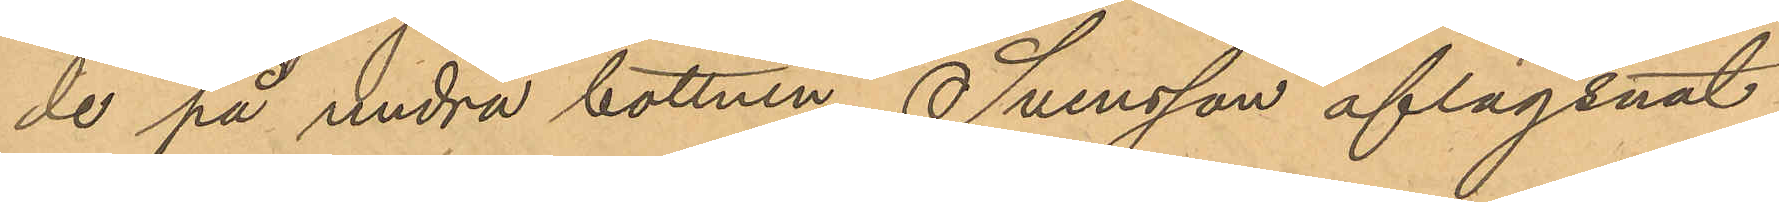de på andra bottnen, Svensson aflägsnat
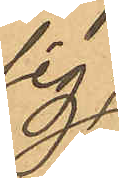sig;
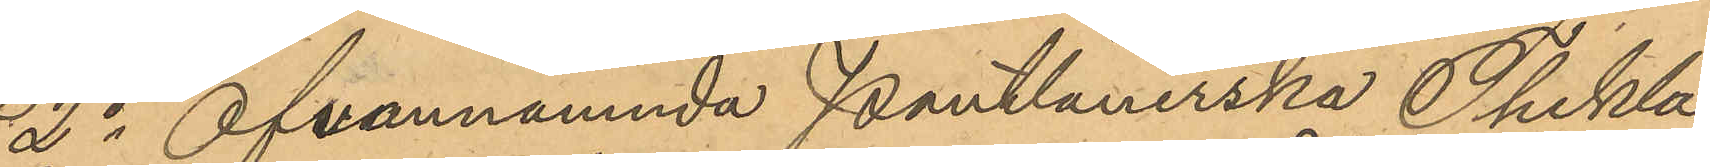2o Ofvannämnda Pantlånerska Thekla
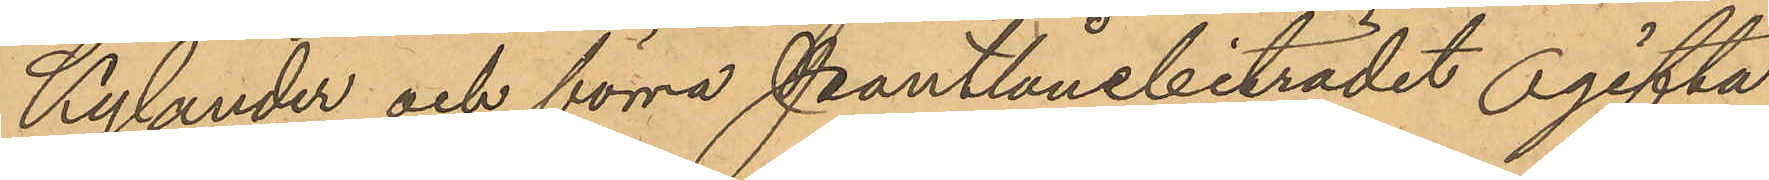Kylander och förra Pantlånebiträdet ogifta
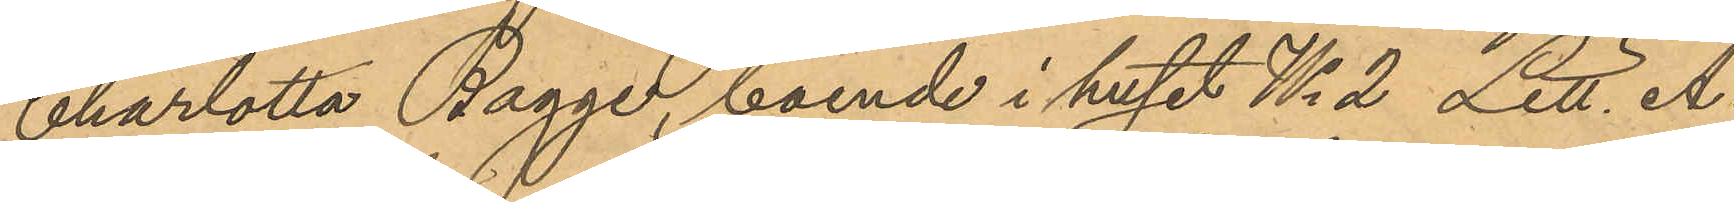Charlotta Bagge, boende i huset No 2 Litt. A
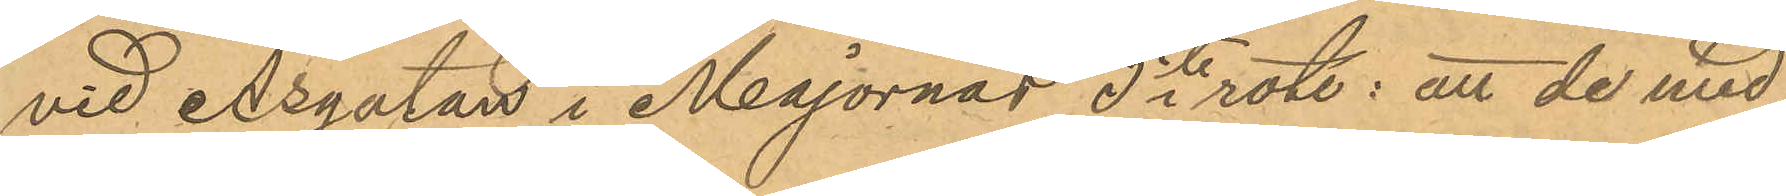vid Åsgatan i Majornas 5te rote; att de med
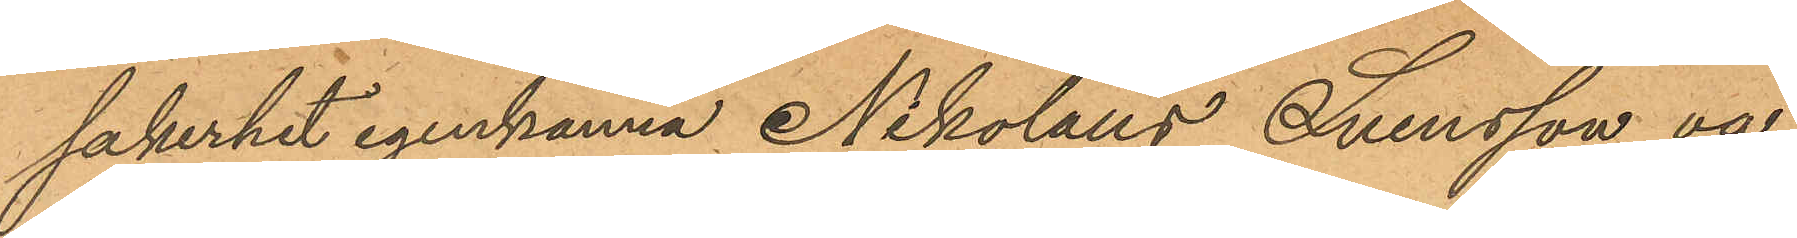säkerhet igenkänna Nikolaus Svensson va¬
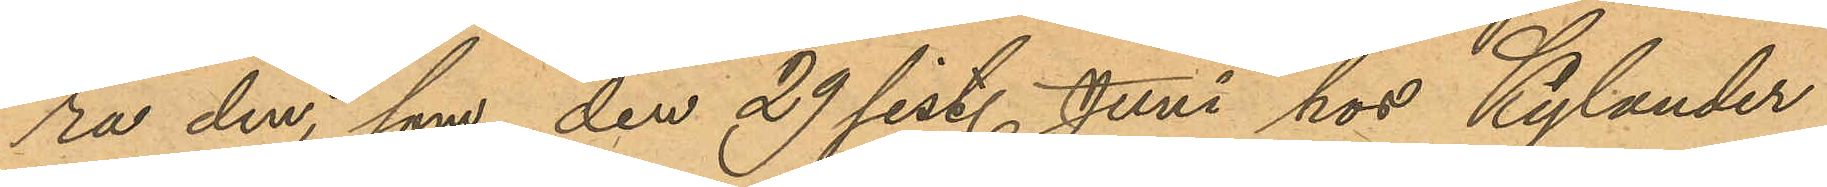ra den, som den 29 sist. Juni hos Kylander
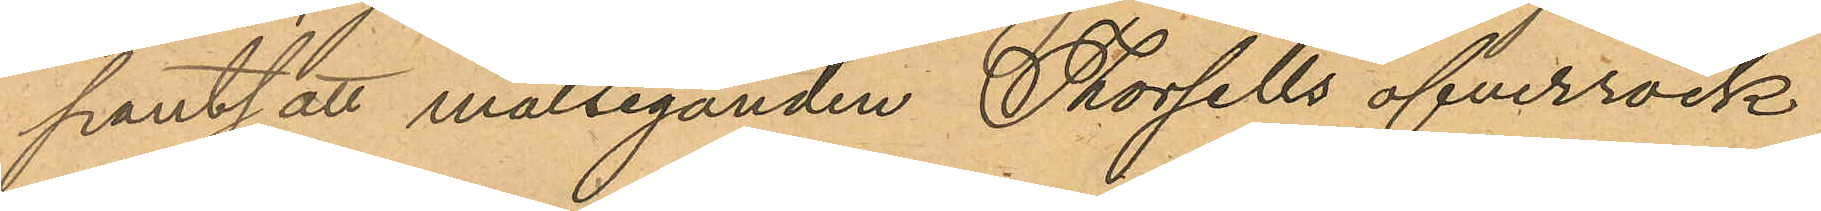pantsatt målseganden Thorsells öfverrock
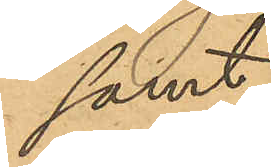samt
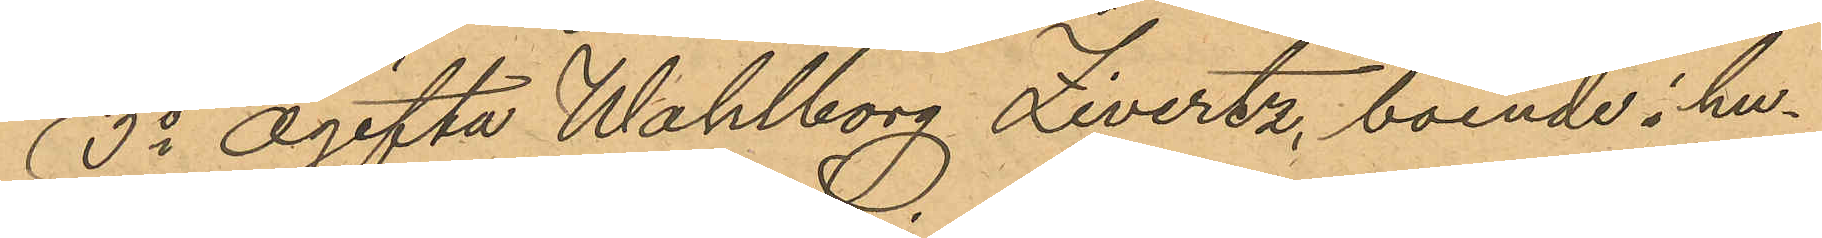3o Ogifta Wahlborg Zivertz, boende i hu¬
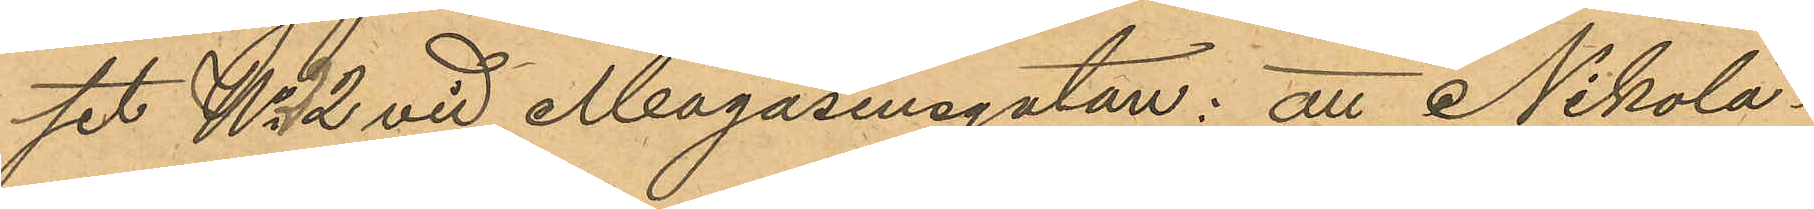set No 2 vid Magasinsgatan: att Nikola¬
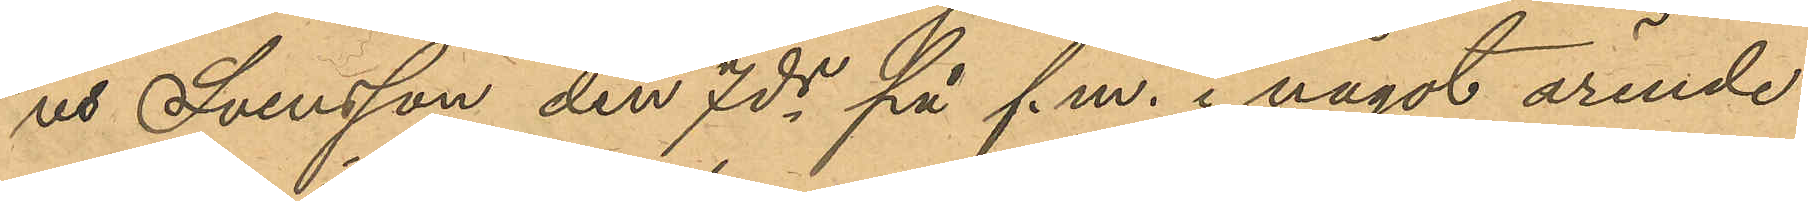us Svensson den 7de på f.m. i något ärende
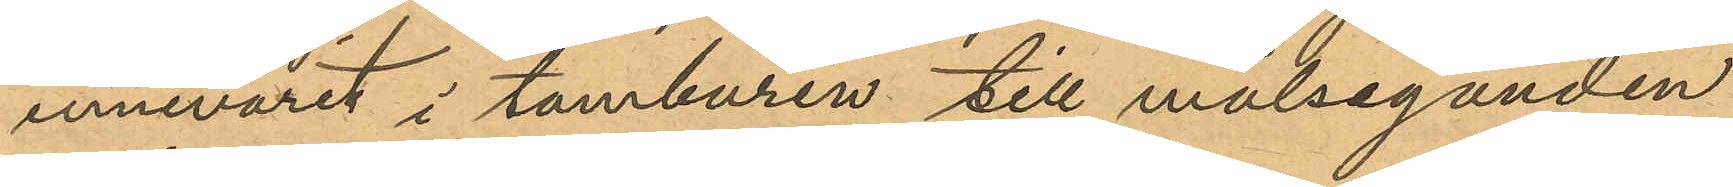innevarit i tamburen till målseganden
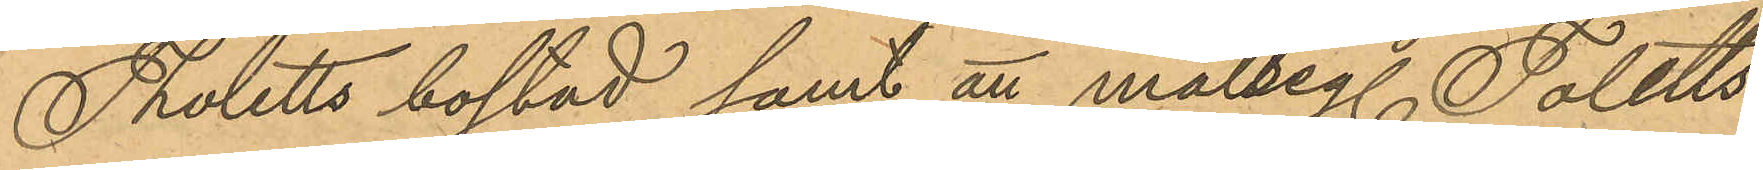Tholetts bostad samt att målseg Toletts
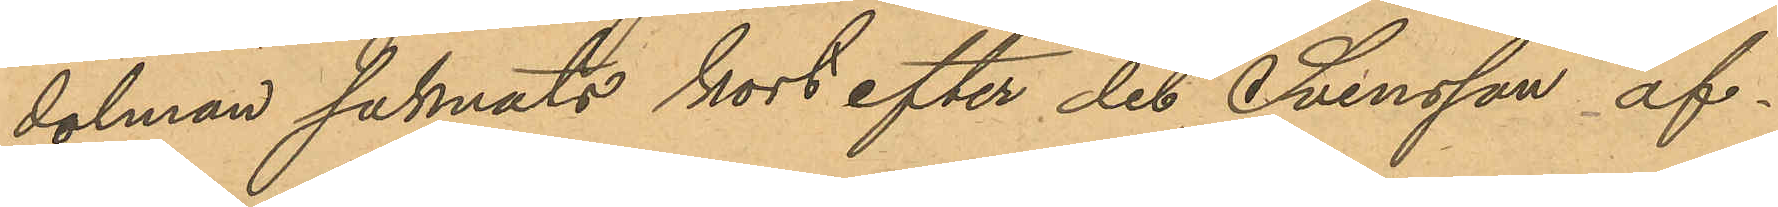dolman saknats kort efter det Svensson af¬
